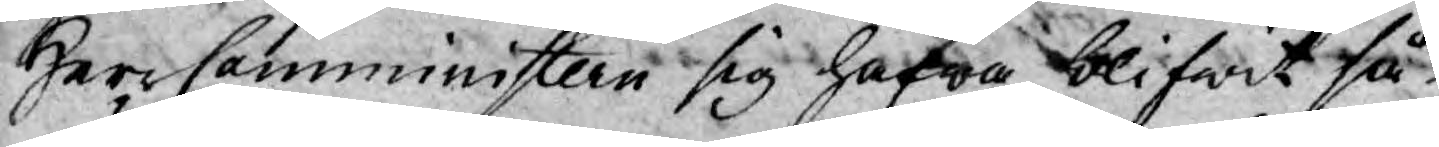Herr Comministern sig hafwa blifwit så
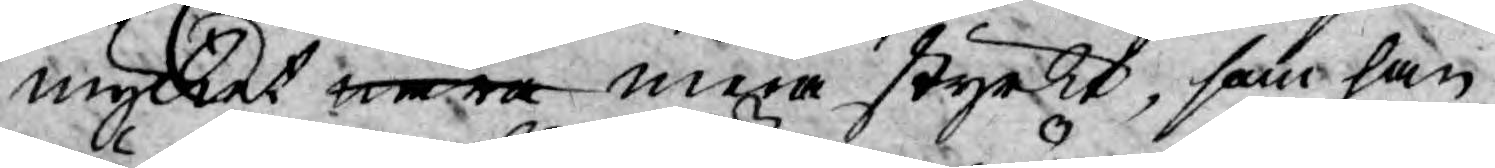mycket mera mera styrkt, som han
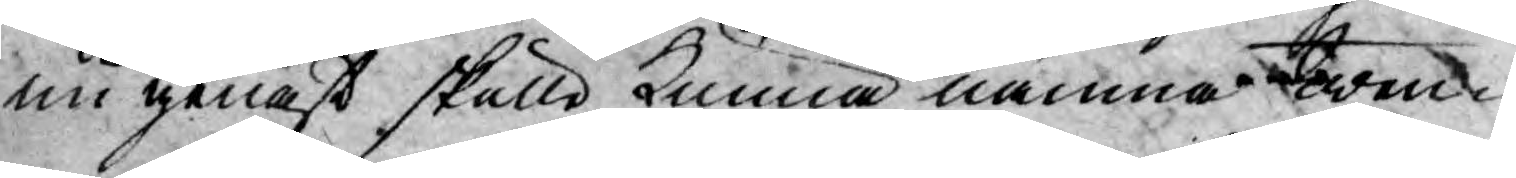nu genast skulle kunna nämna twen¬
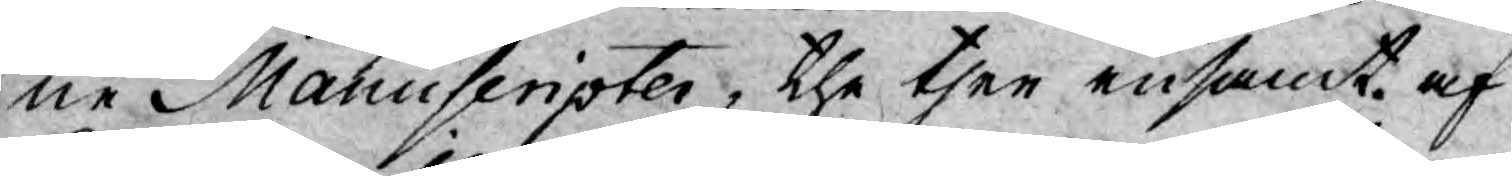ne Manuscripter, the ther ensamt af
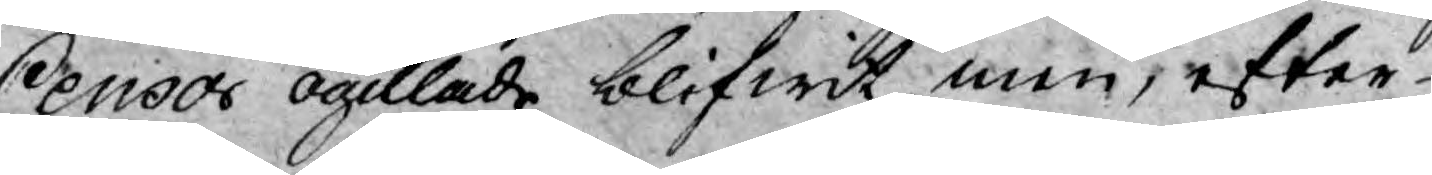Censor ogillade blifwit men, efter
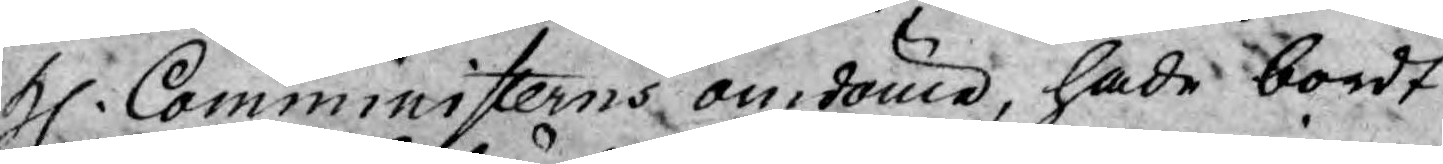H. Comministerns omdöme, hade bordt
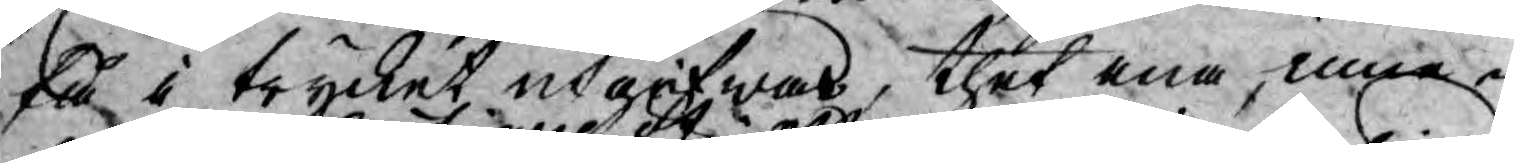få i trycket utgifwas, thet ena, inne¬
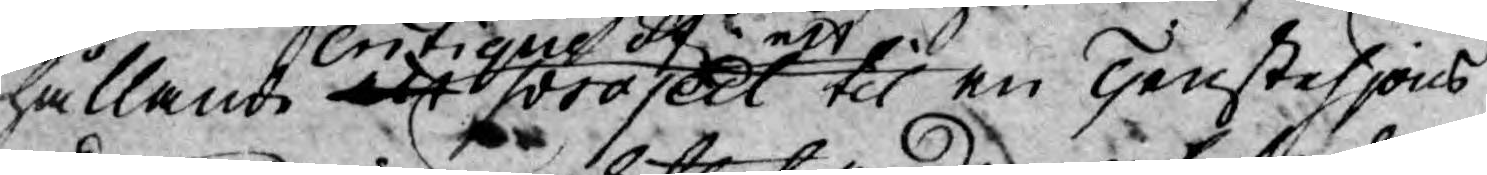hållande critique af ett project til en Tenstehjons
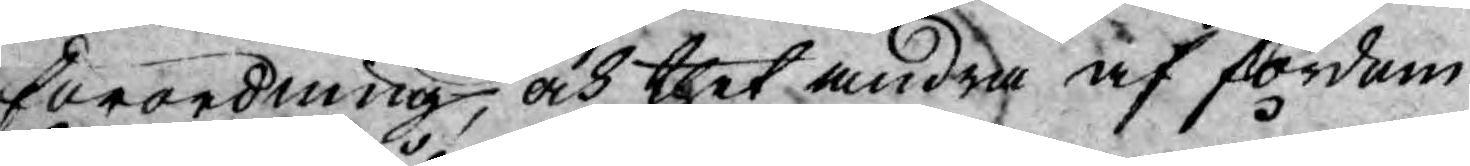förordning, och thet andra af fordom
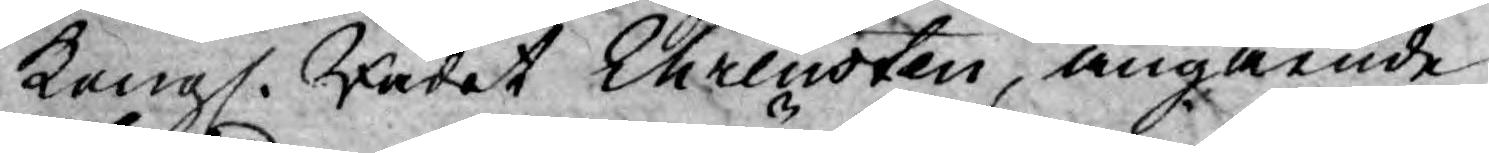Kongl. Rådet Ehrensten, angående
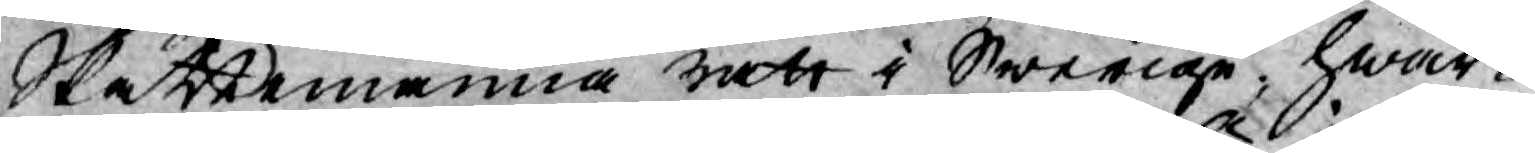Skattemanna rätt i Swerige, hwar¬
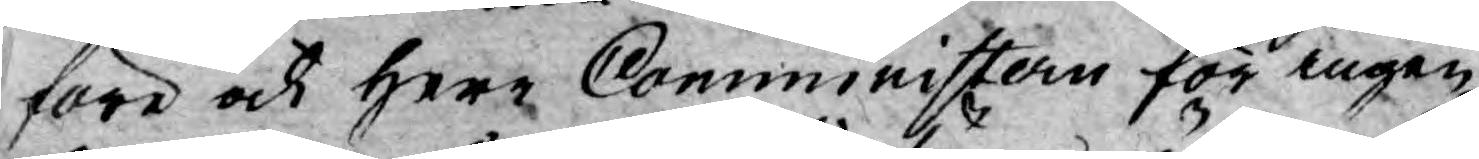före och Herr Comministern för ingen
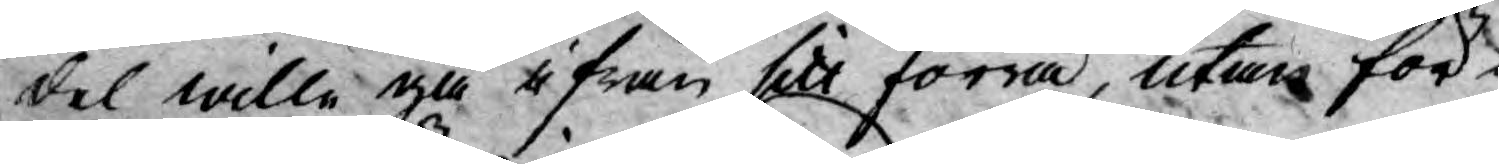del wille gå ifrån sitt förra, utan för¬
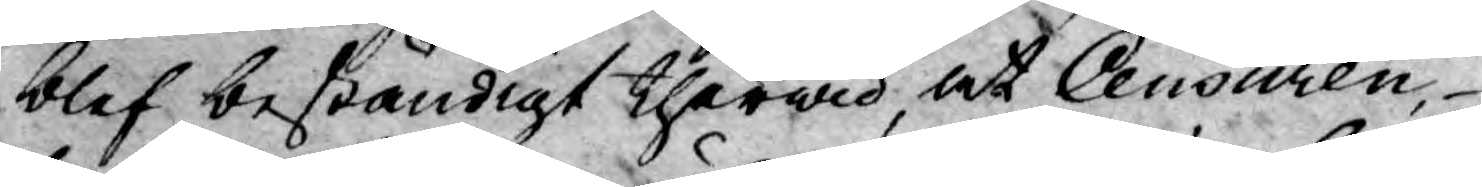blef beständigt therwid, at Censuren,
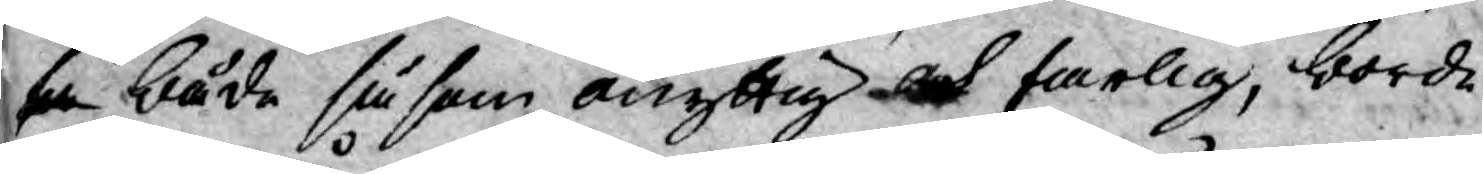både såsom onyttig och farlig, borde
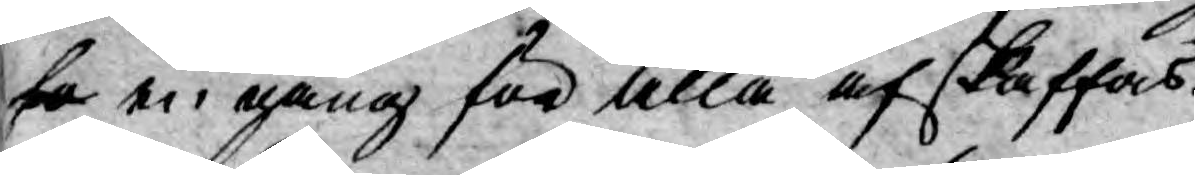en gång för alla afskaffas.
